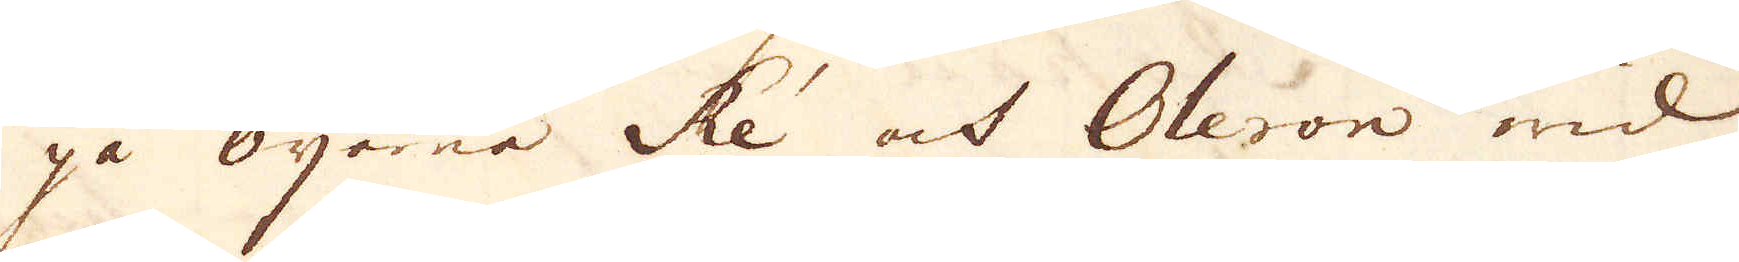på öjarna Ré och Oleron wid
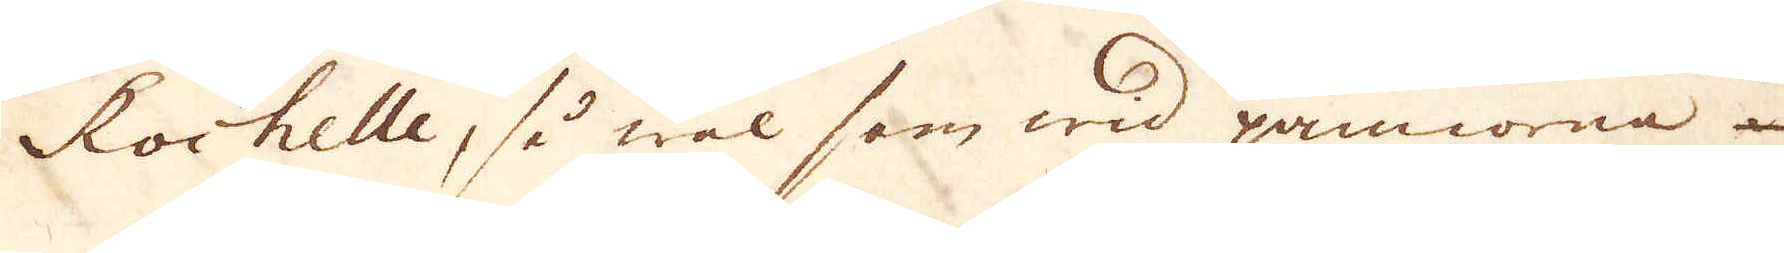Rochelle, så wäl som wid pannorna
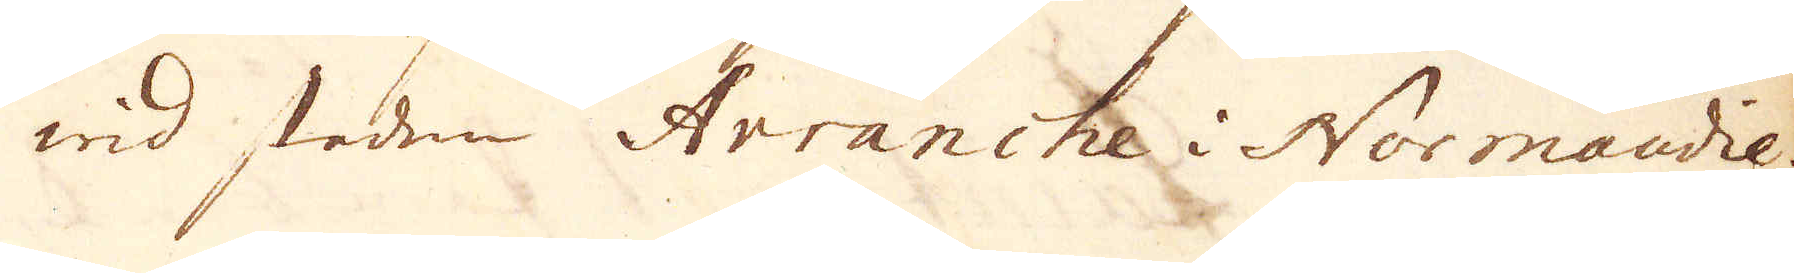wid staden Arranche i Normandie.
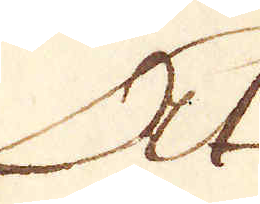At
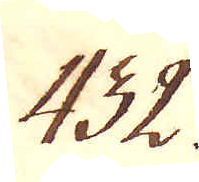432.
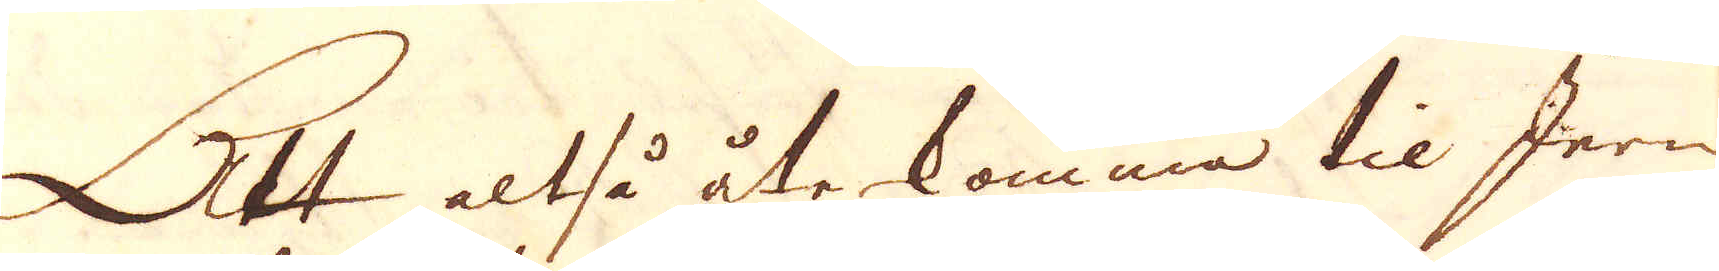Att altså återkomma til Jern-
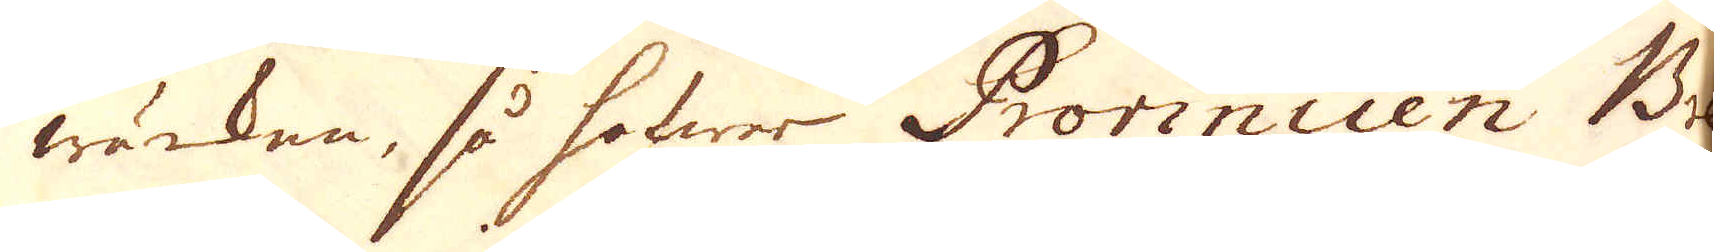wärken, så hafwer Provincien Bre-
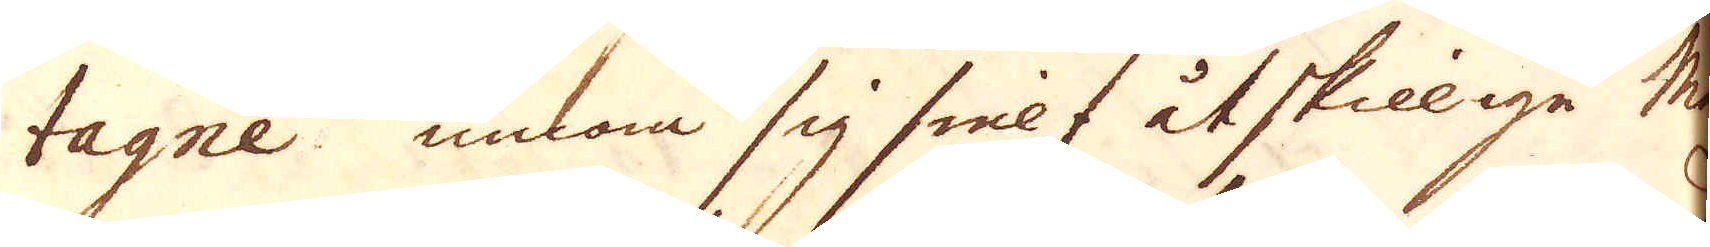tagne innom sig sielf åtskilliga Mas
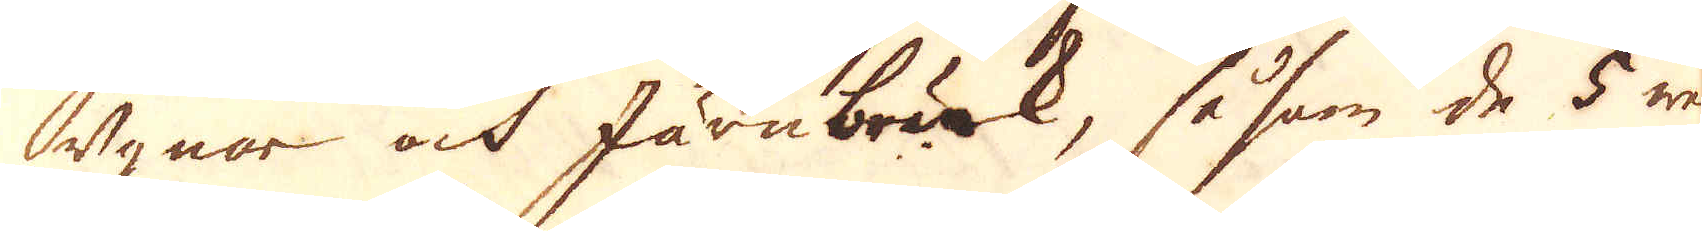ugnar och Järnwärk, såsom de 5 wärk
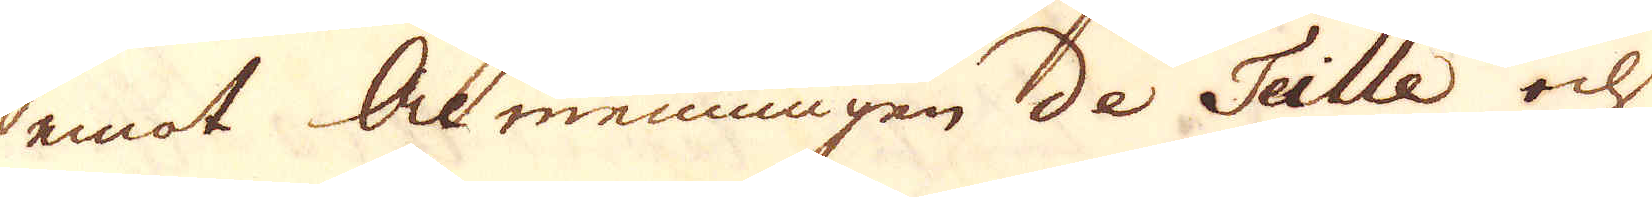emot Almenningen de Teillée ohk
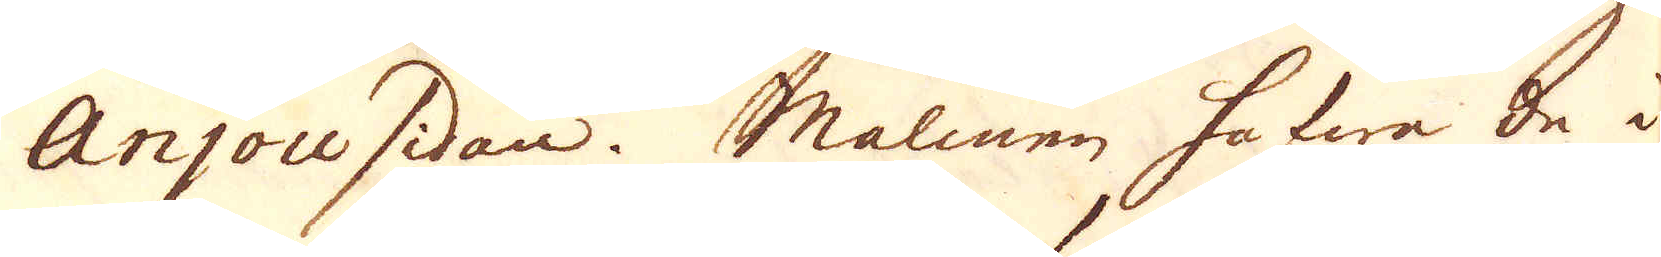Anjou sidan. Malmen hafwa de i
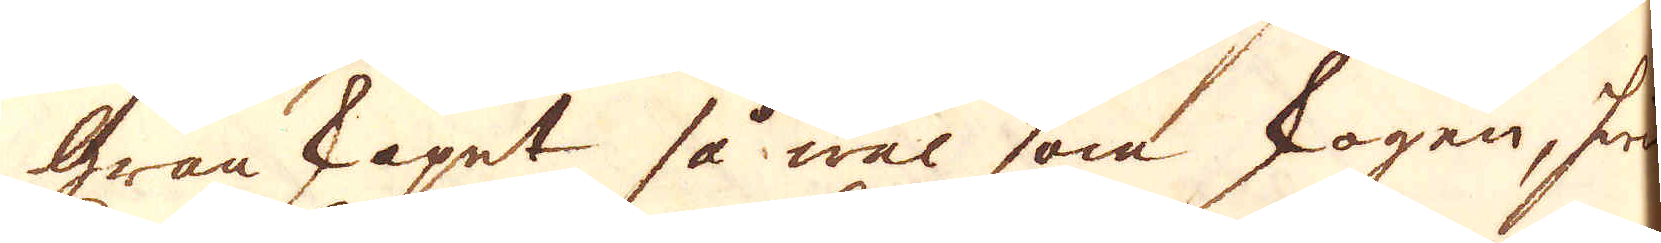Granskapet så wäl som skogen, hwil-
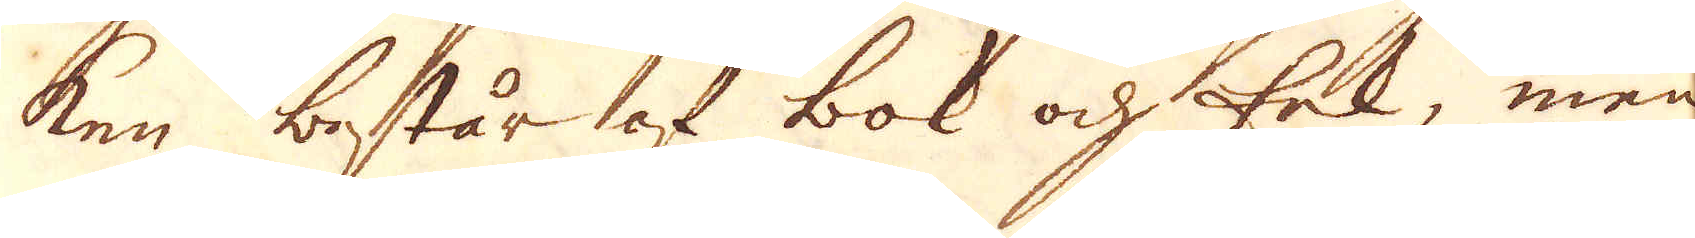ken består af bok och ek, men
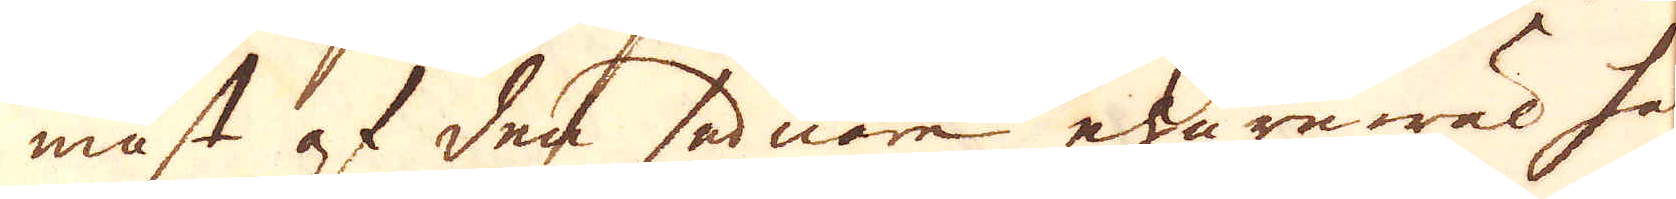mäst af den sednare ehuruwäl han
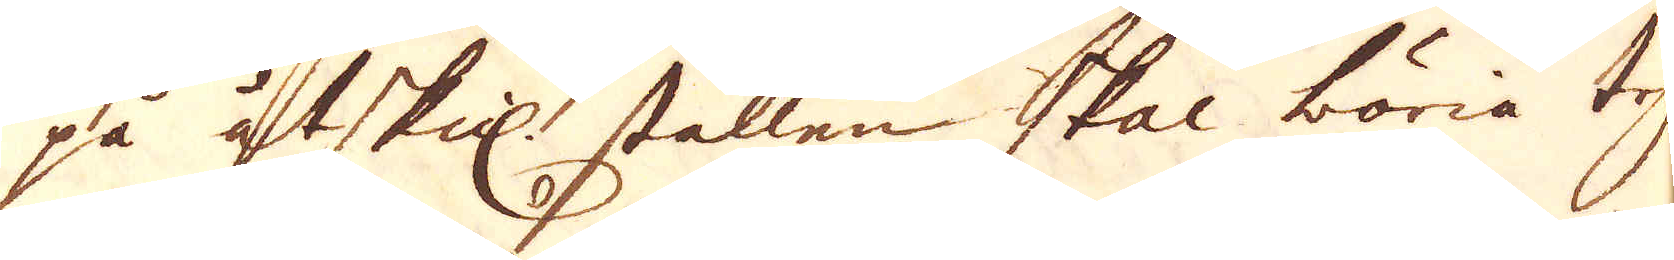på åtskil. ställen skal böria tryta
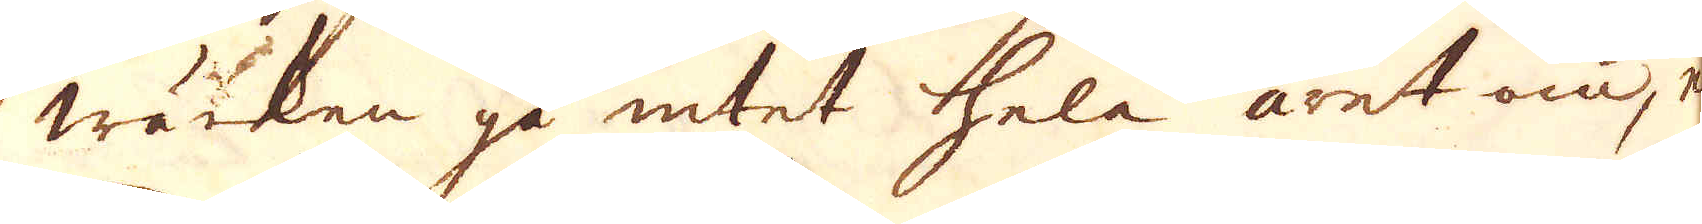wäcken gå intet hela året om, e-
